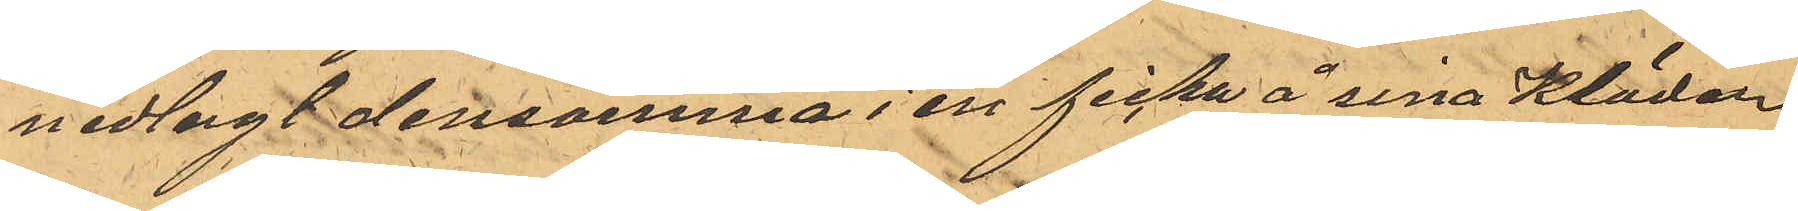nedlagt densamma i en ficka å sina Kläder
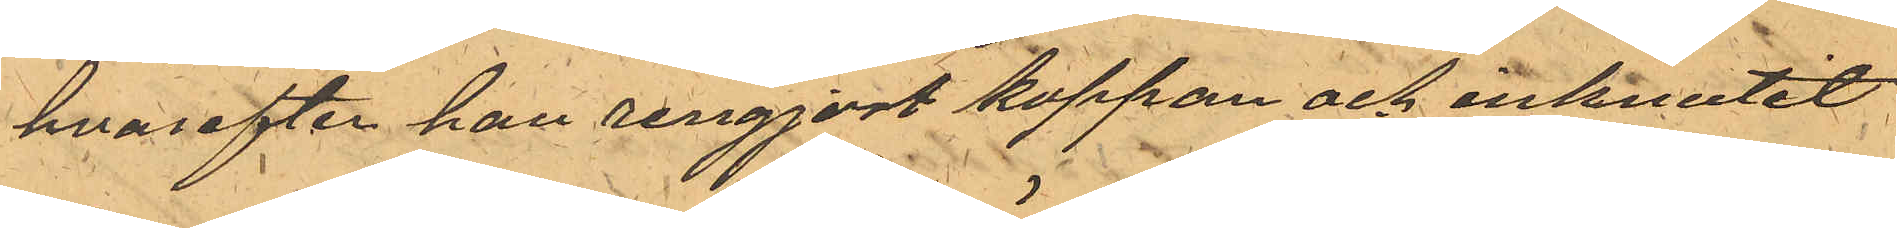hvarefter han rengjort kappan och inknutit
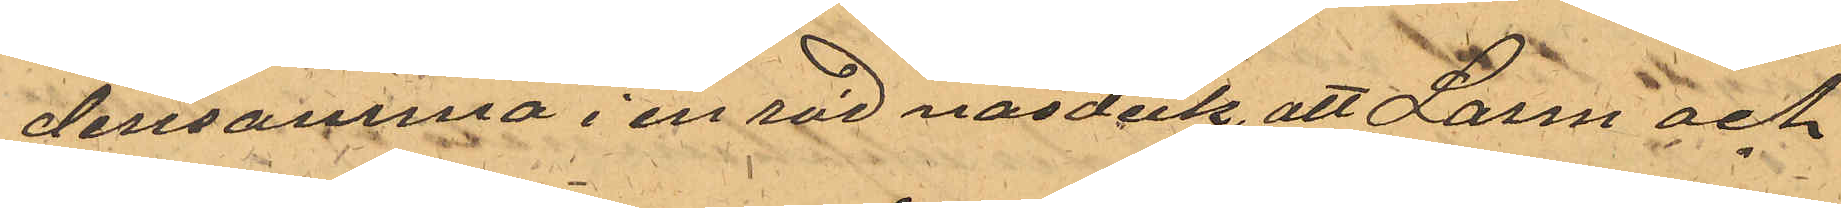densamma i en röd näsduk, att Larm och
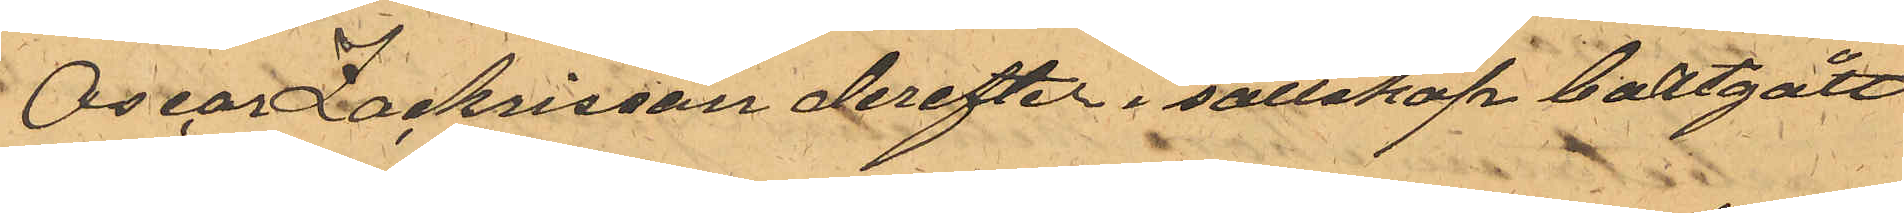Oscar Zachrisson derefter i sällskap bortgått
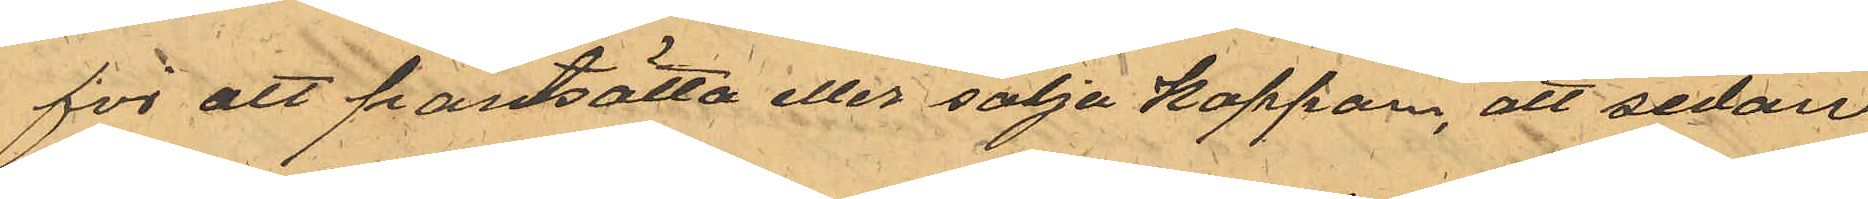för att pantsätta eller sälja kappan, att sedan
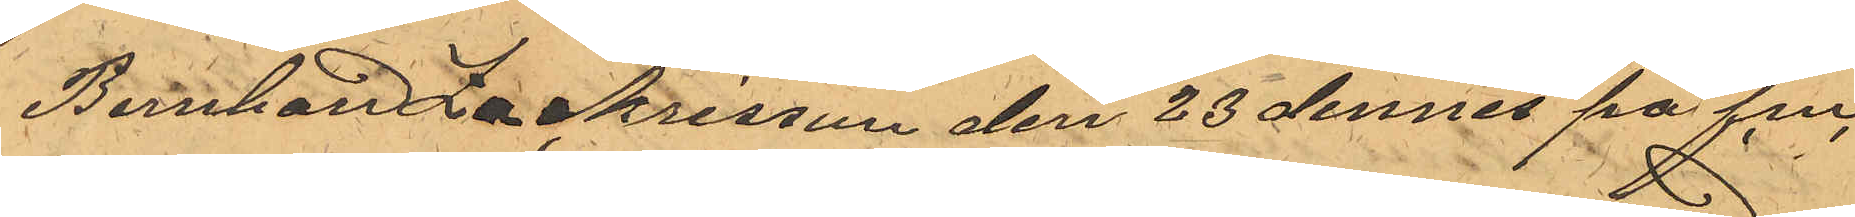Bernhard Zachrisson den 28 dennes på f.m.
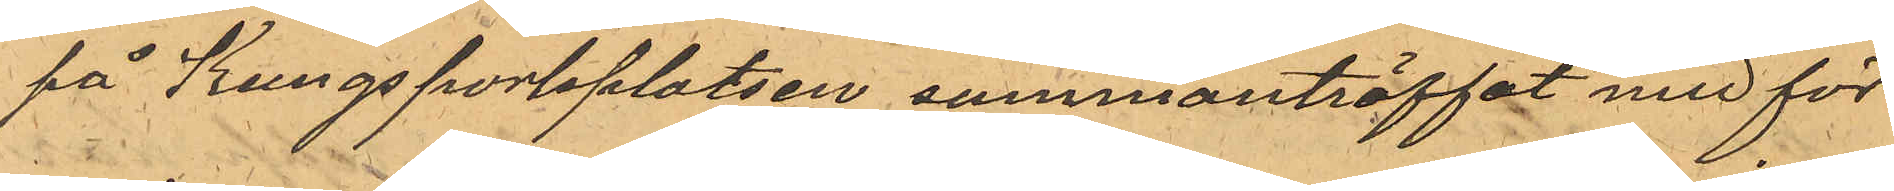på Kungsportsplatsen sammanträffat med för
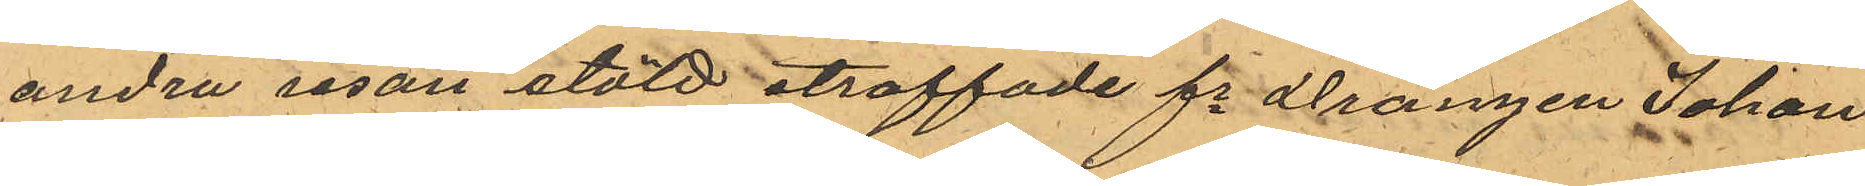andra resan stöld straffade fe drängen Johan
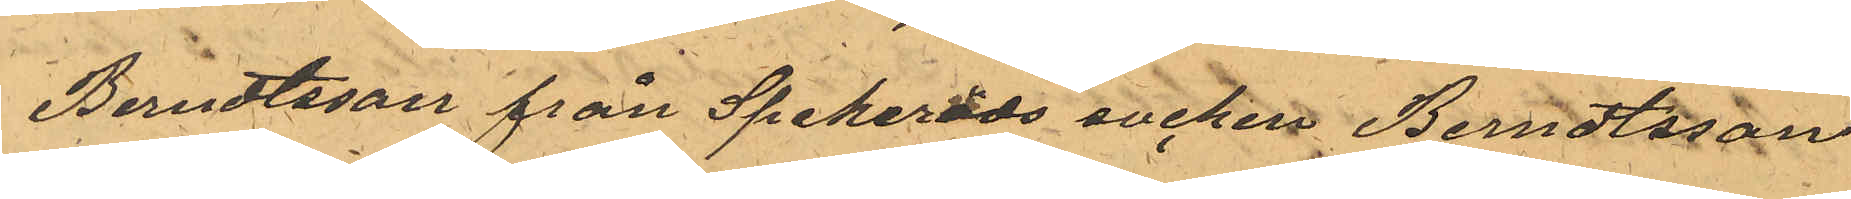Berndtsson från Spekeröds socken Berndtsson
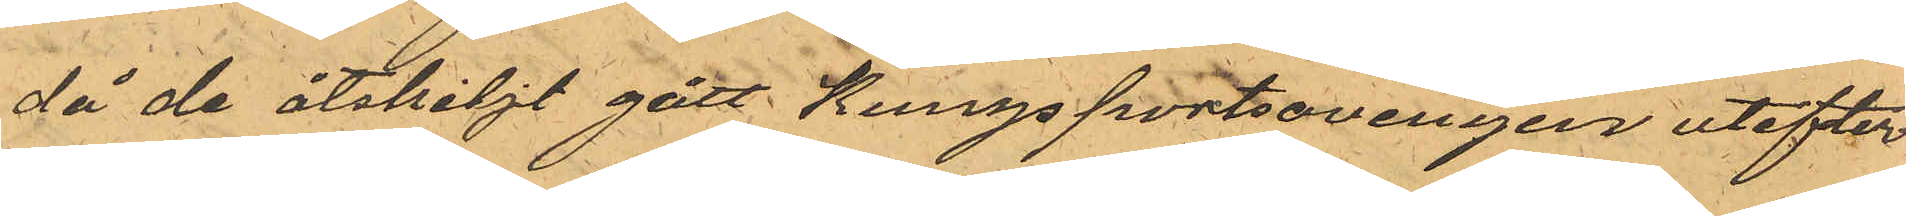då de åtskiljt gått Kungsportsavenyer utefter
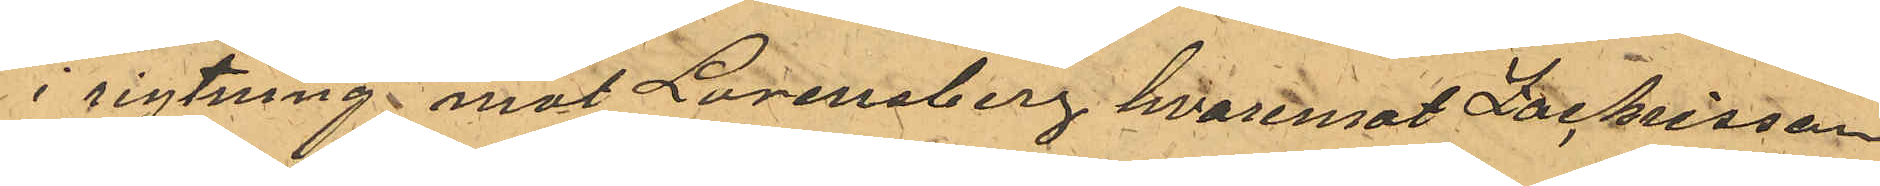i riktning mot Lorensberg hvaremot Zachrisson
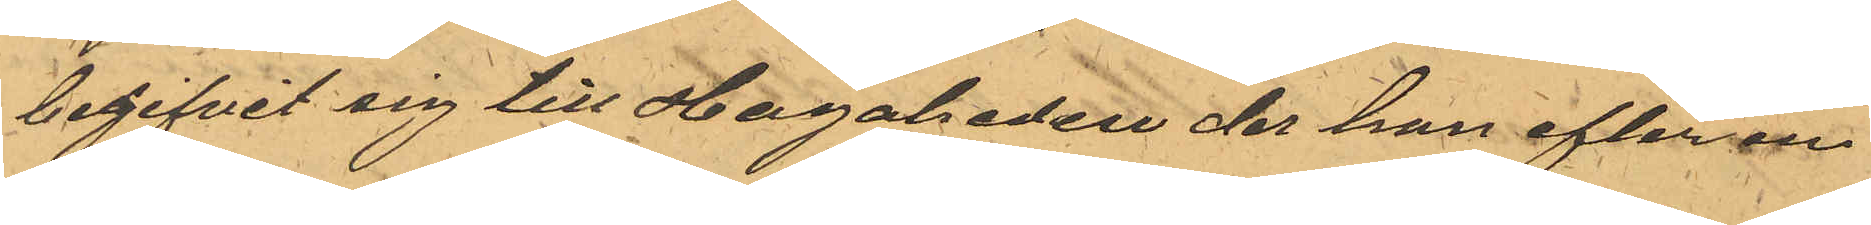begifvit sig till Hagaheden der han efter en
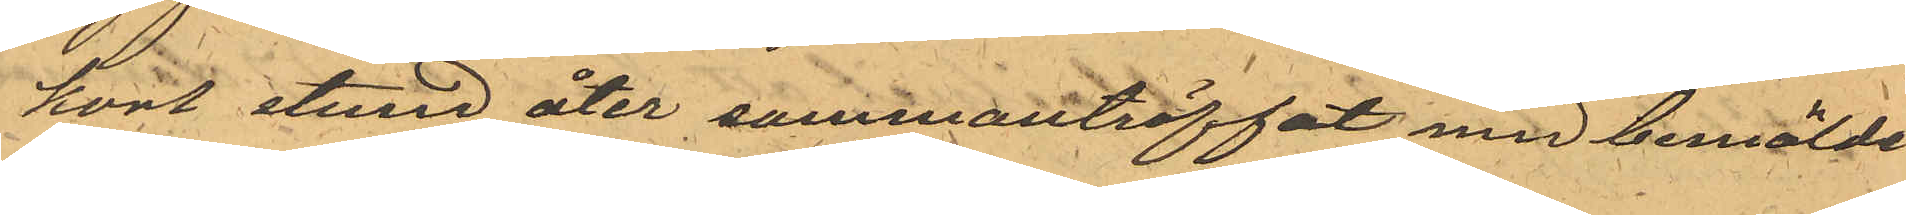kort stund åter sammanträffat med bemälde
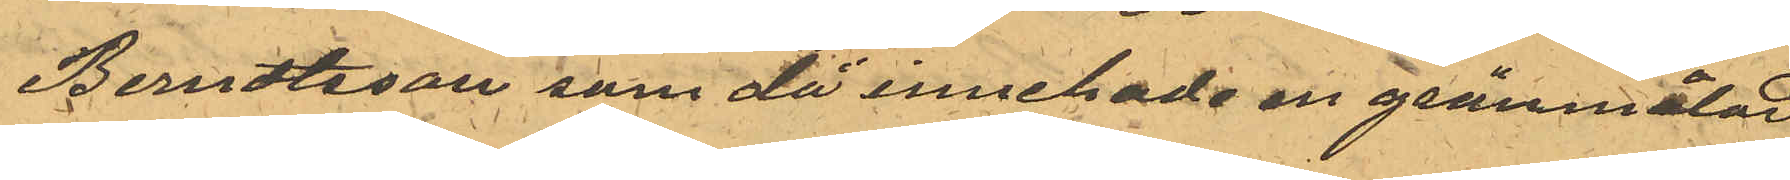Berndtsson som då innehade en grönmålad
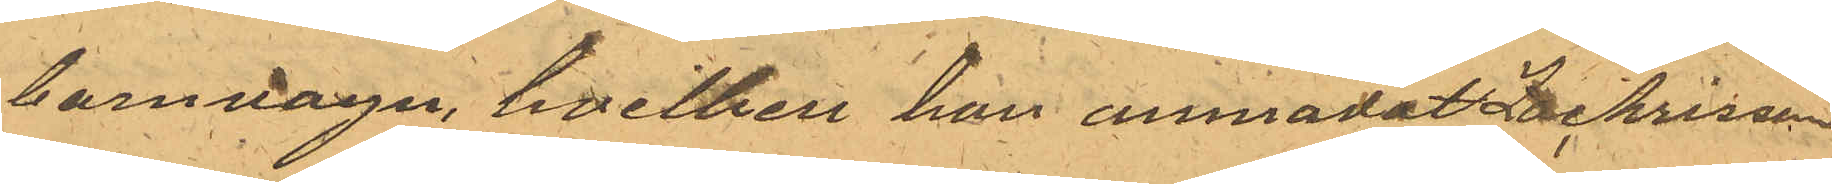barnvagn, hvilken han anmodat Zachrisson
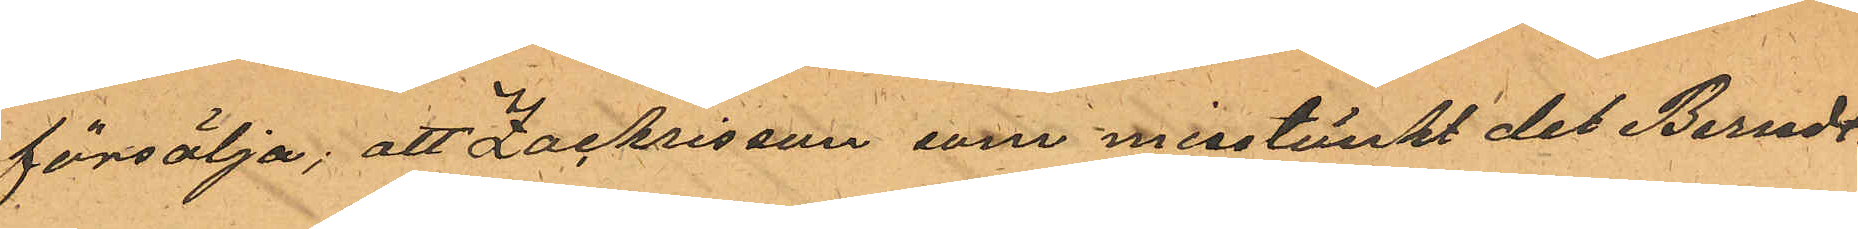försälja; att Zachrisson som misstänkt det Berndt¬
